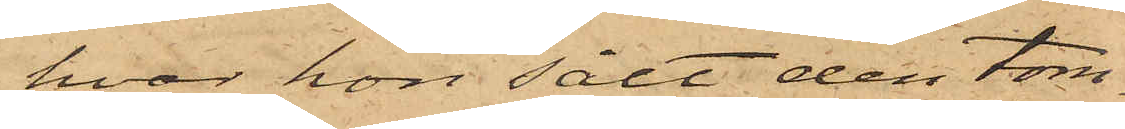hvar hon sålt den tom¬
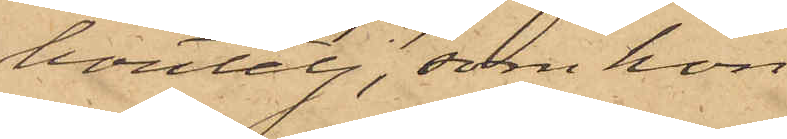boutelj, som hon
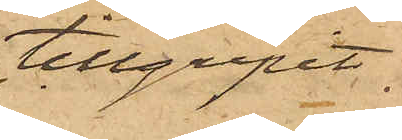tillgripit.
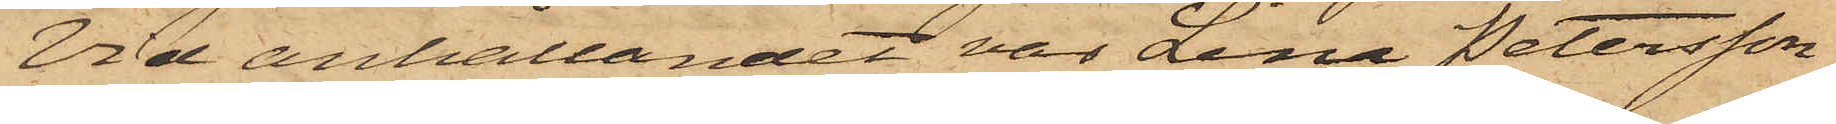Vid anhållandet var Lina Petersson
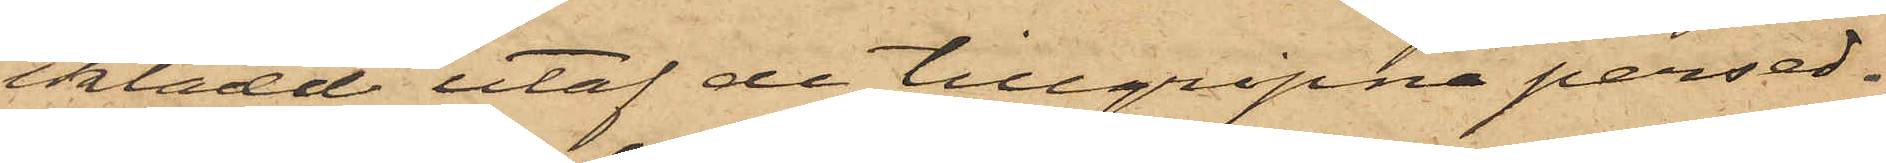iklädd utaf de tillgripne persed¬
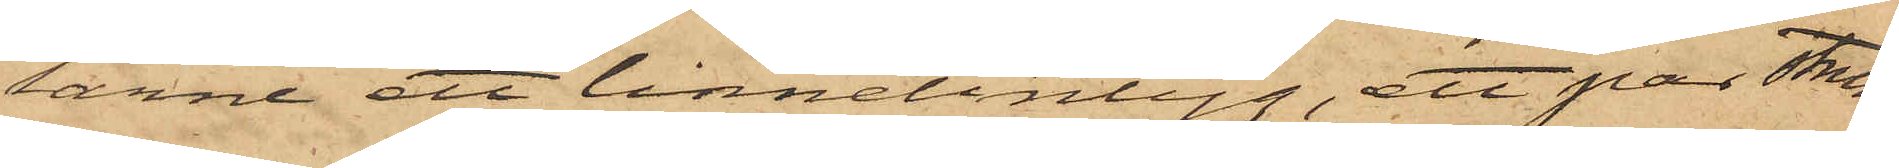larne ett linnelintyg, ett par strum¬
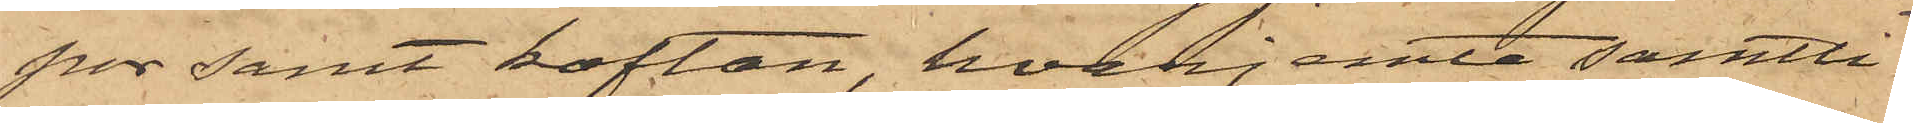por samt koftan, hvarjemte samtli¬
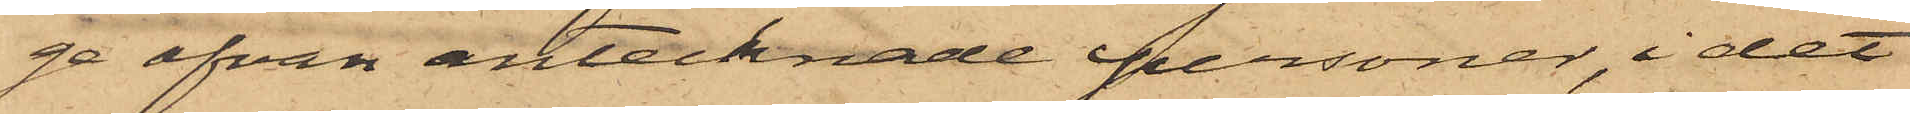ge ofvan antecknade personer, i det
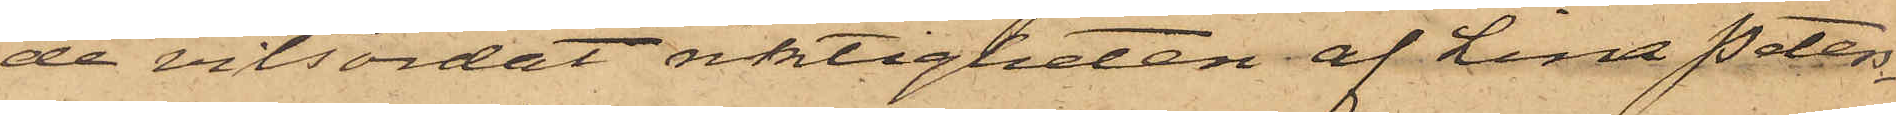de vitsordat riktigheten af Lina Peters¬
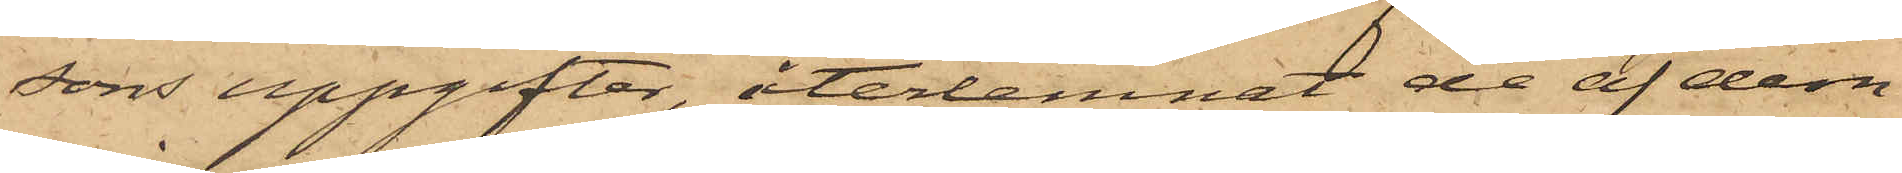sons uppgifter, återlemnat de af dem
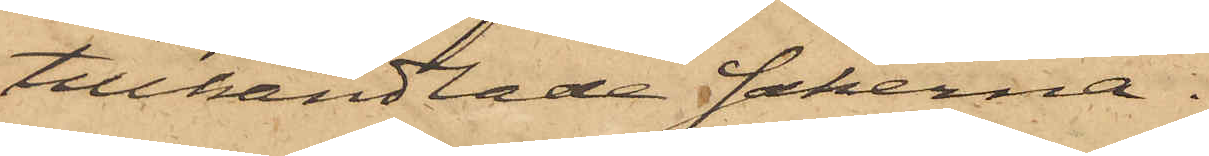tillhandlade sakerna.
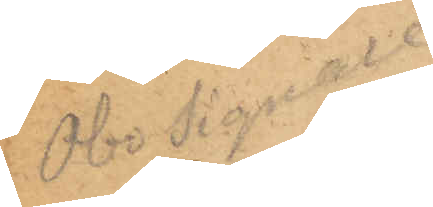Obv Signale¬
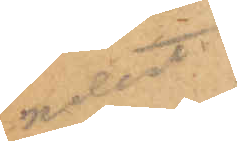ment
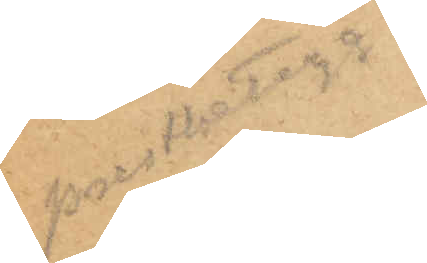Prestbetyg
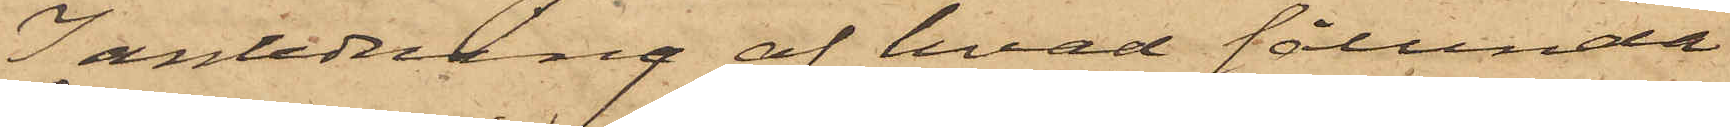I anledning af hvad sålunda
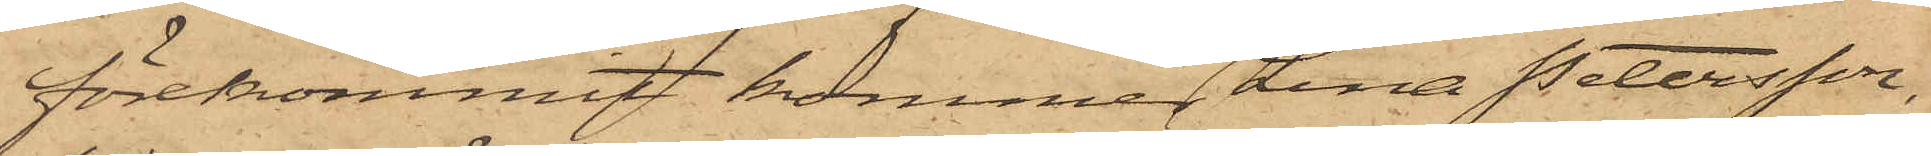förekommit kommer Lina Petersson,
